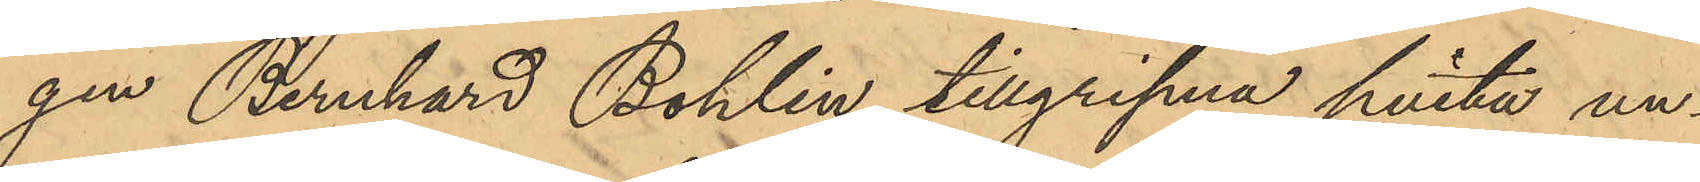gen Bernhard Bohlin tillgripna hvita un¬
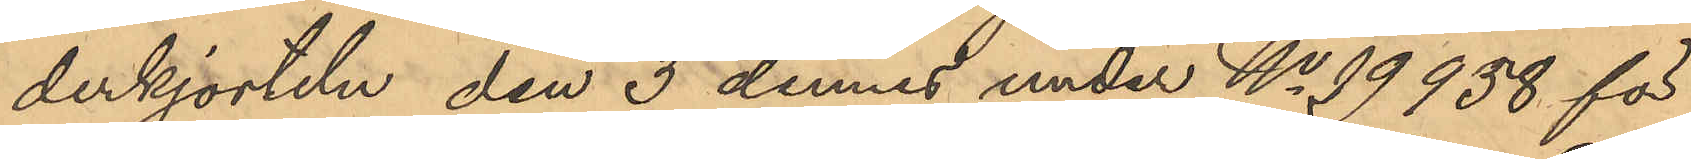derkjorteln den 3 dennes under No 99958 för
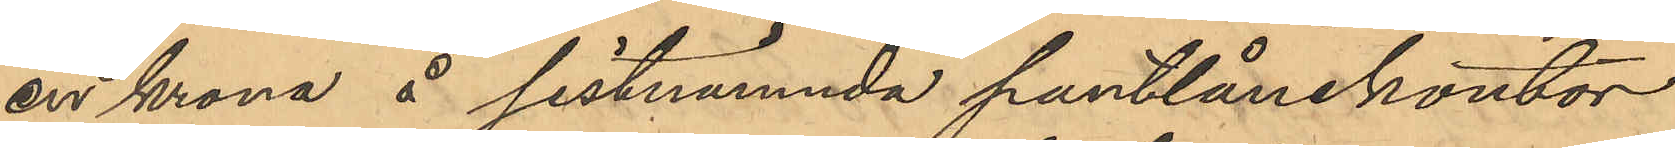en krona å sistnämnda pantlånekontor
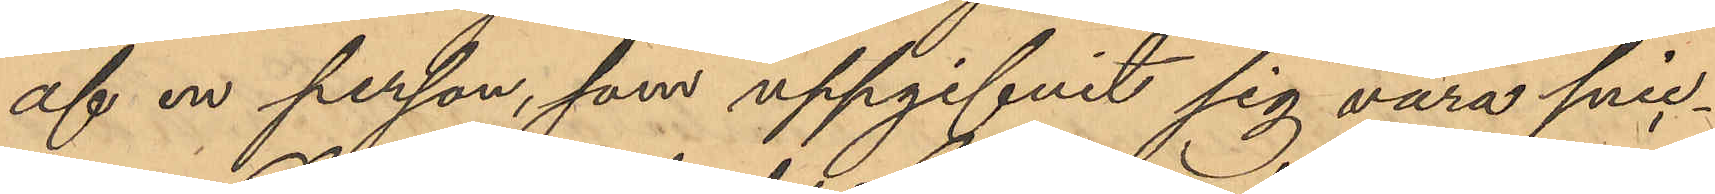af en person, som uppgifvit sig vara snic¬
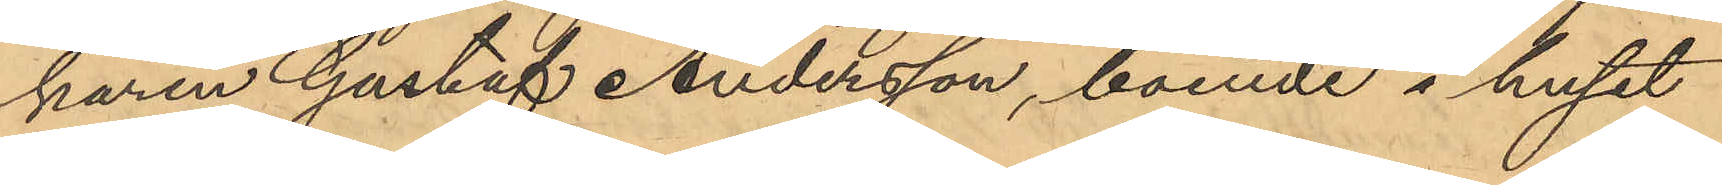karen Gustaf Andersson, boende i huset
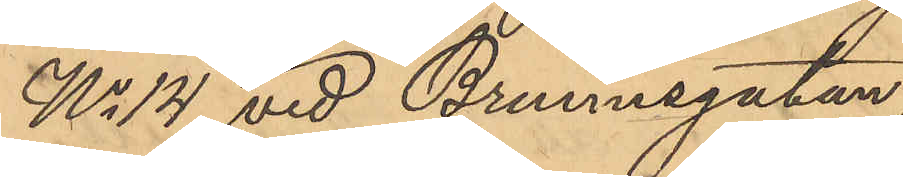No 14 vid Brunnsgatan,
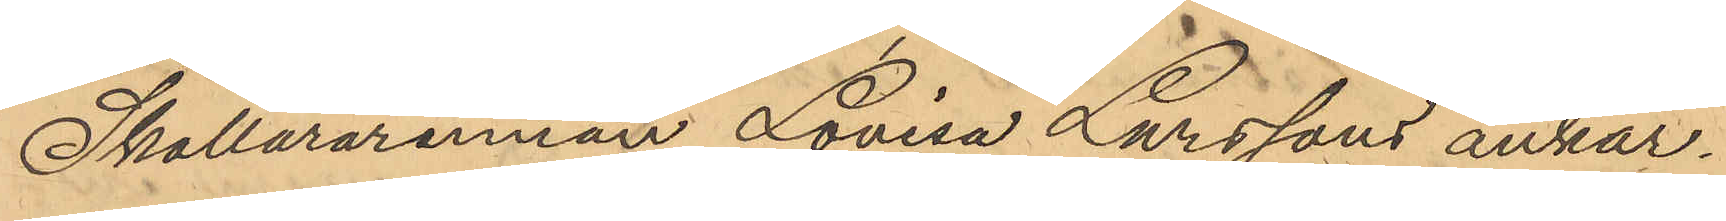Skollärarinnan Lovisa Larssons ankar¬
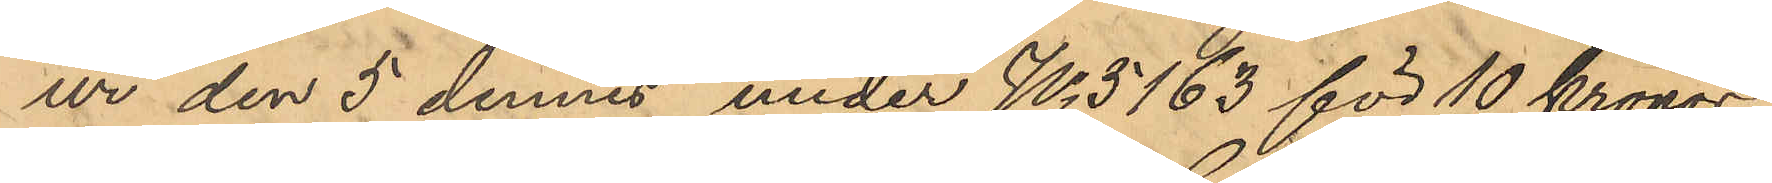ur den 5 dennes under No 5163 för 10 Kronor
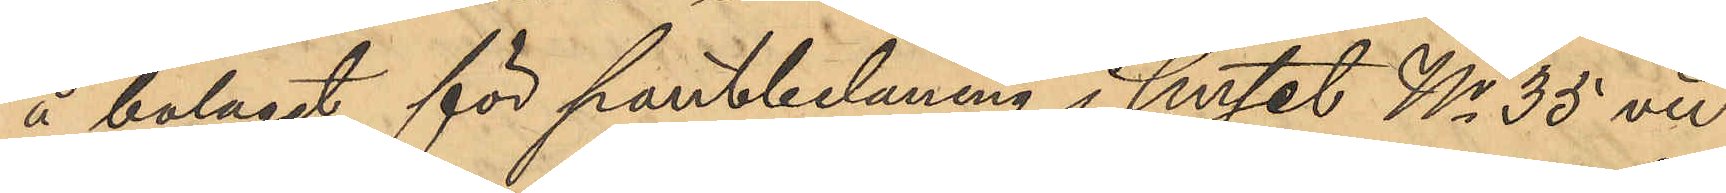å bolaget för pantbelåning i huset No 35 vid
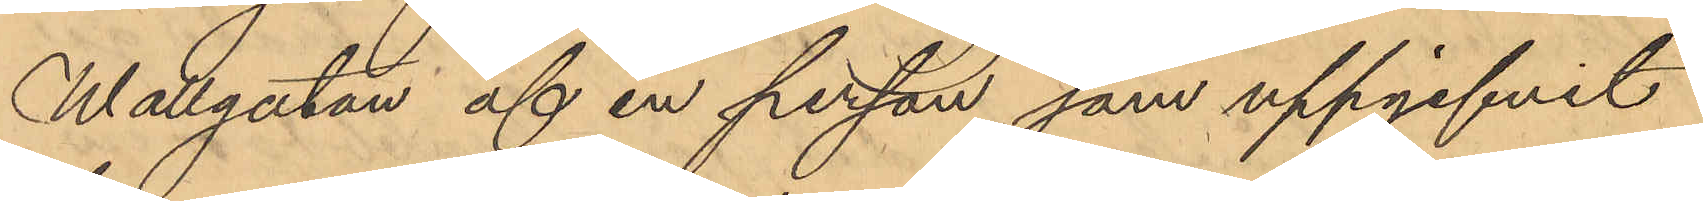Wallgatan af en person som uppgifvit
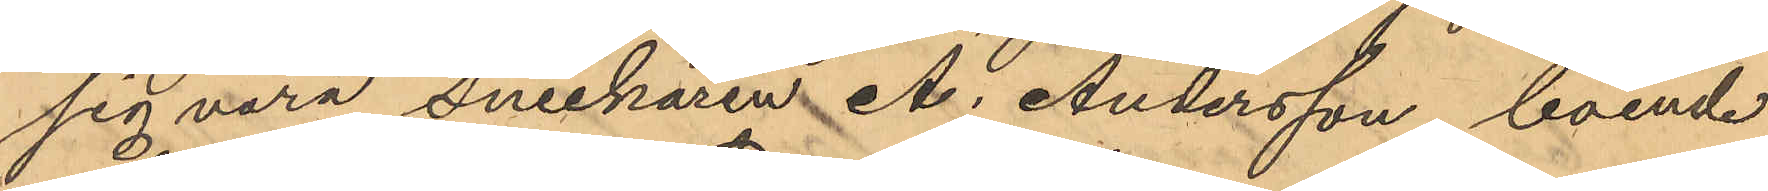sig vara Snickaren A. Andersson, boende
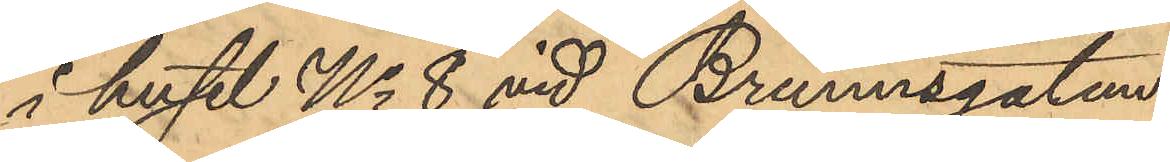i huset No 8 vid Brunnsgatan,
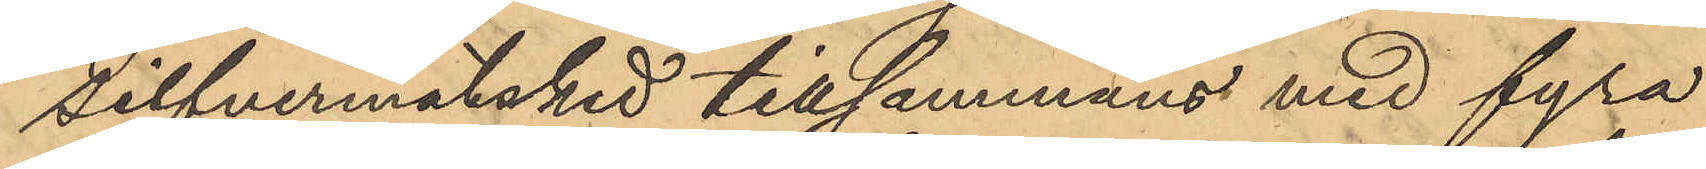Silfvermatsked tillsammans med fyra
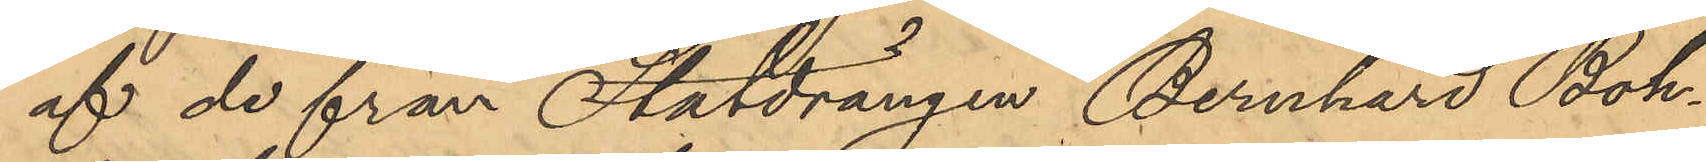af de från Statdrängen Bernhard Boh¬
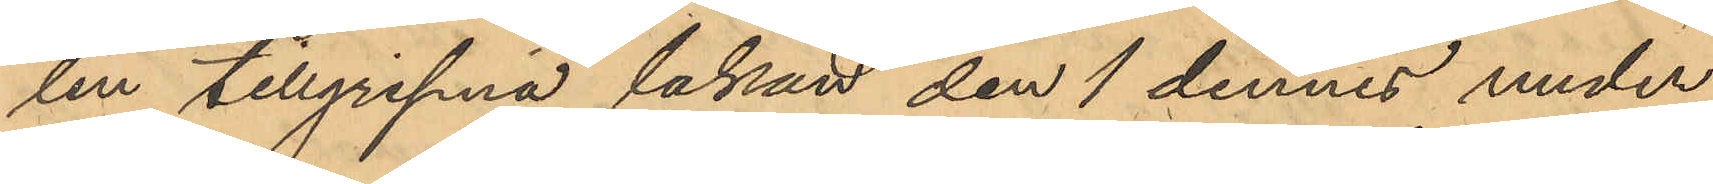lin tillgripna lakan den 1 dennes under
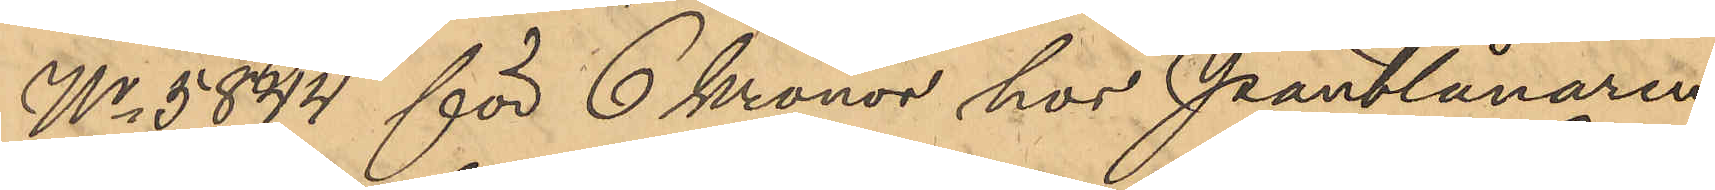No 5844 för 6 kronor hos Pantlånaren
